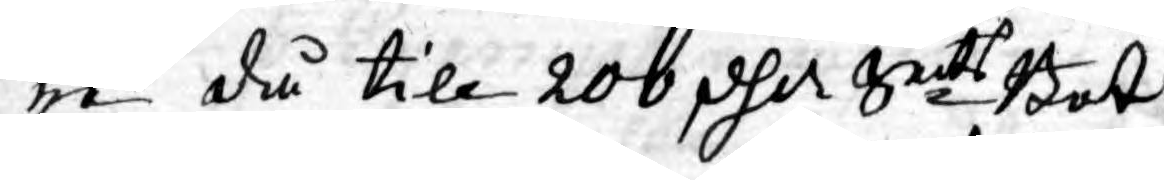re då till 200 dlr Smts Bot
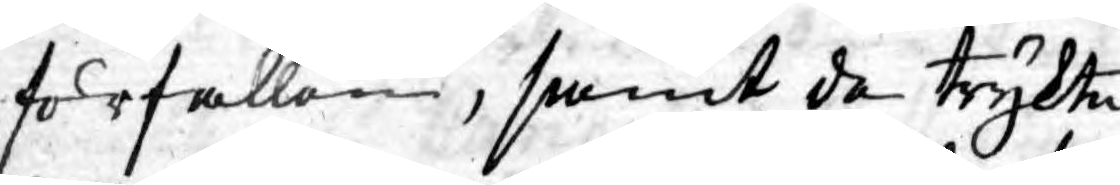förfallen, samt de trykte
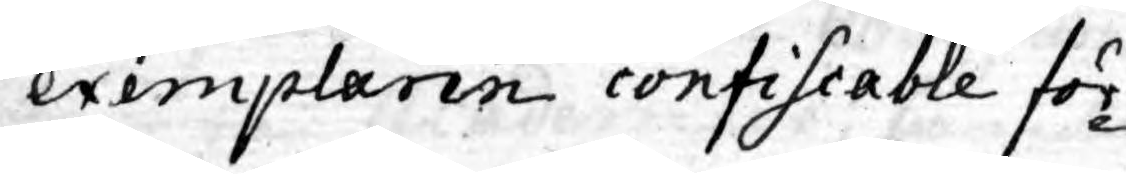exemplaren confiscable för¬
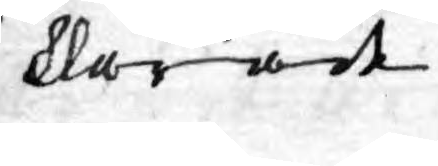klarade.
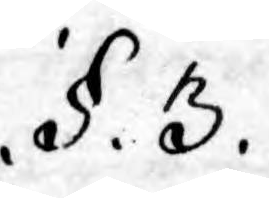.§. 3.
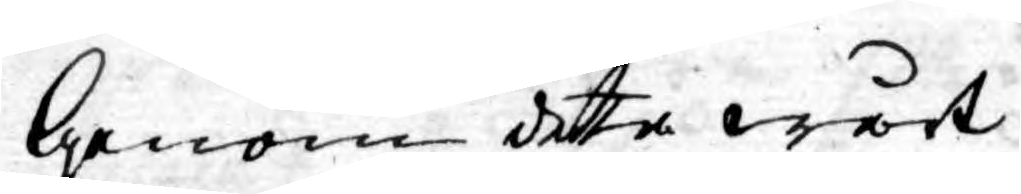Genom detta wårt
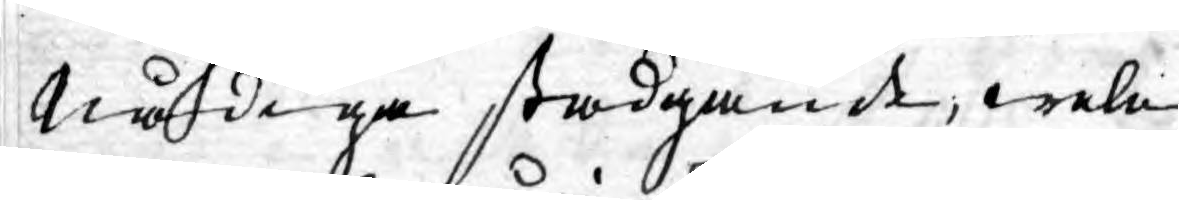Nådiga stadgande, wele
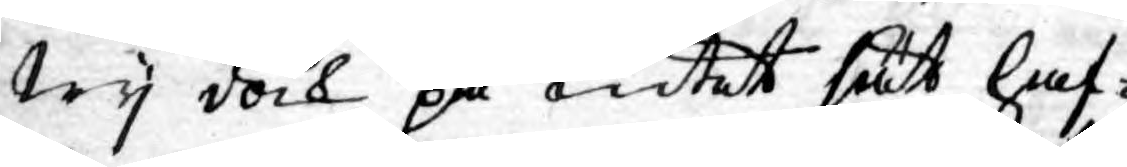Wy dock på intet sätt haf¬
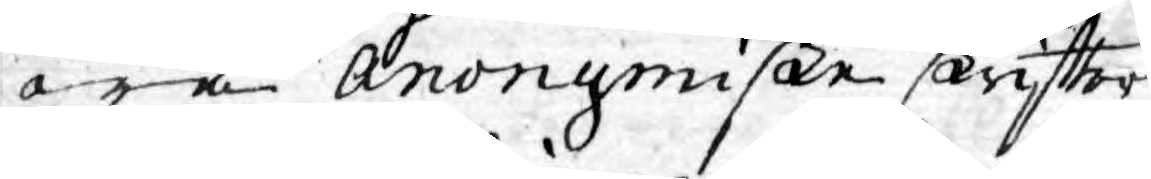wa Anonymiske skriftter
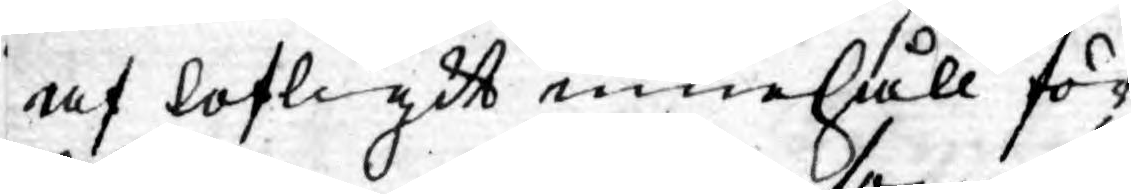af lofligit innehåll för¬
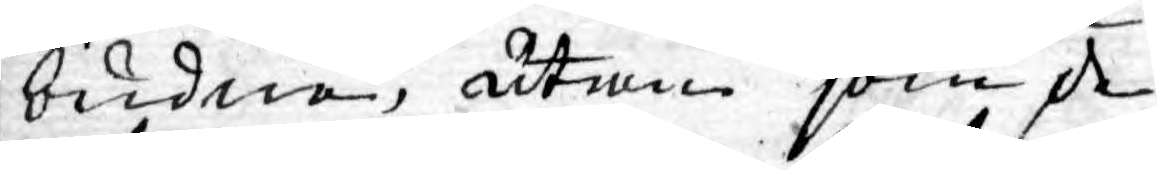budne, utan som de
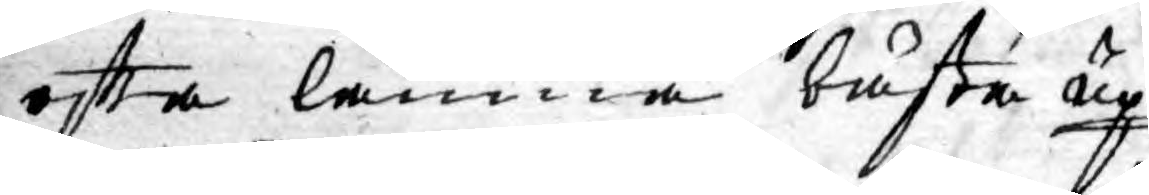ofta lämna bästa up¬
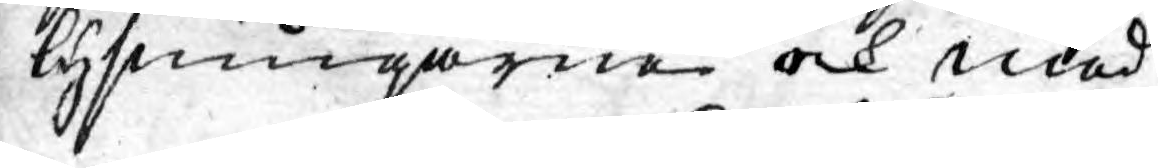lysningarne och med
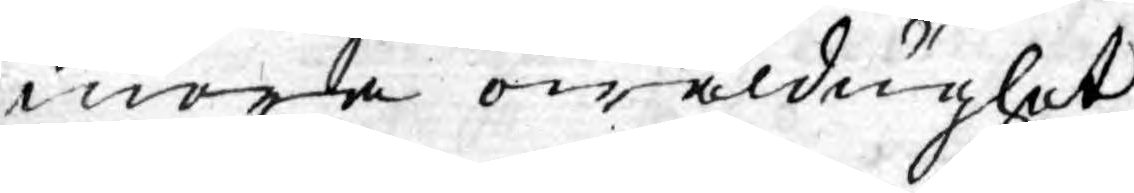mera owäldughet
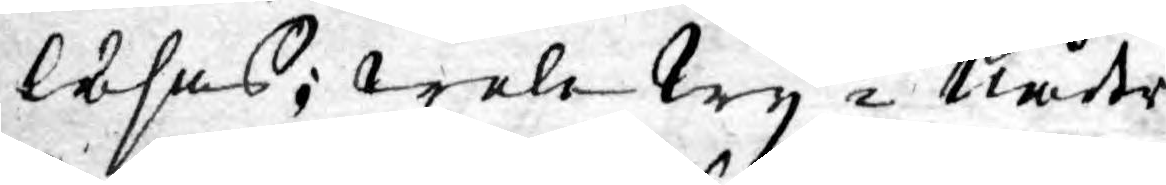lösas; wele Wy i Nåder
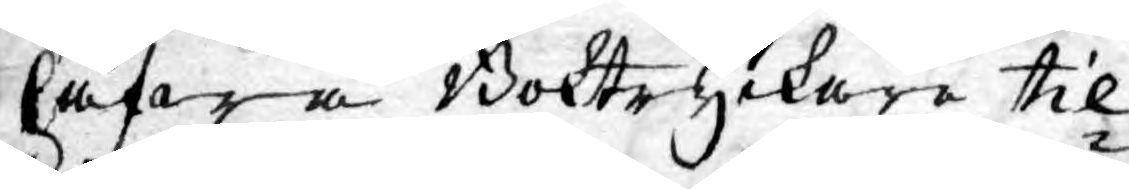hafwa Boktryckare til¬
